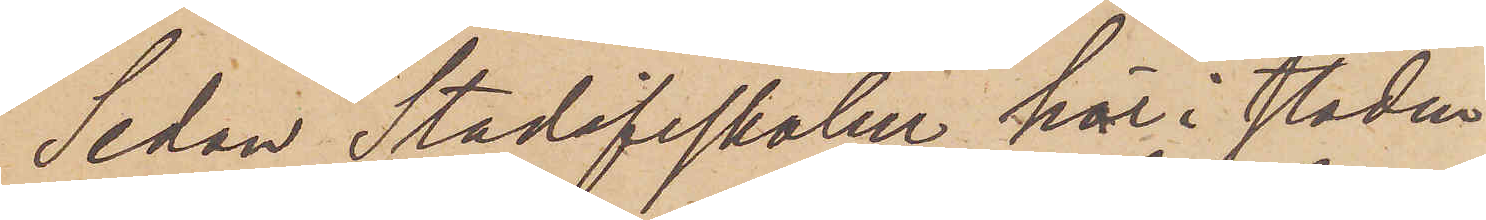Sedan Stadsfiskalen här i staden
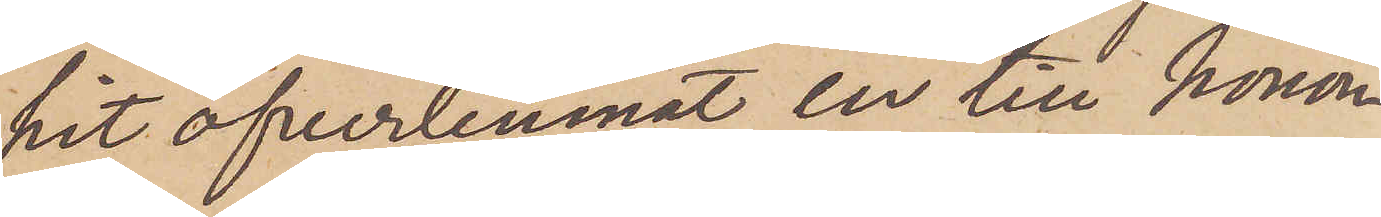hit öfverlemnat en till honom
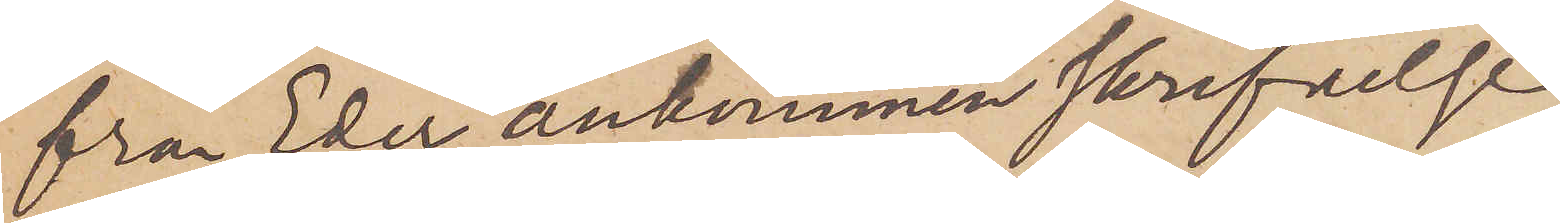från Eder ankommen skrifvelse
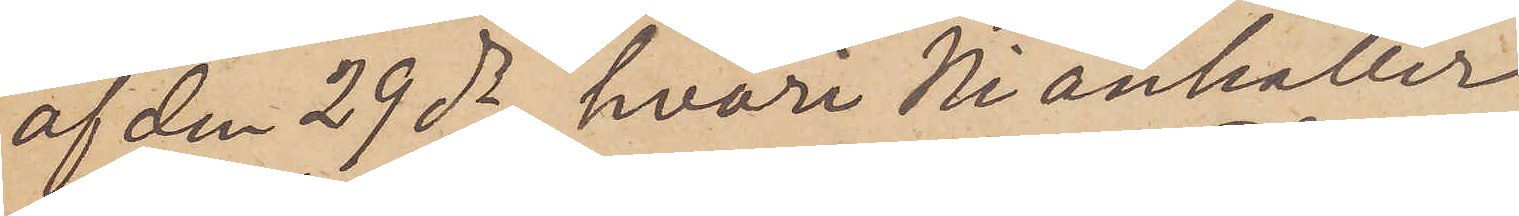af den 29 ds, hvari Ni anhåller
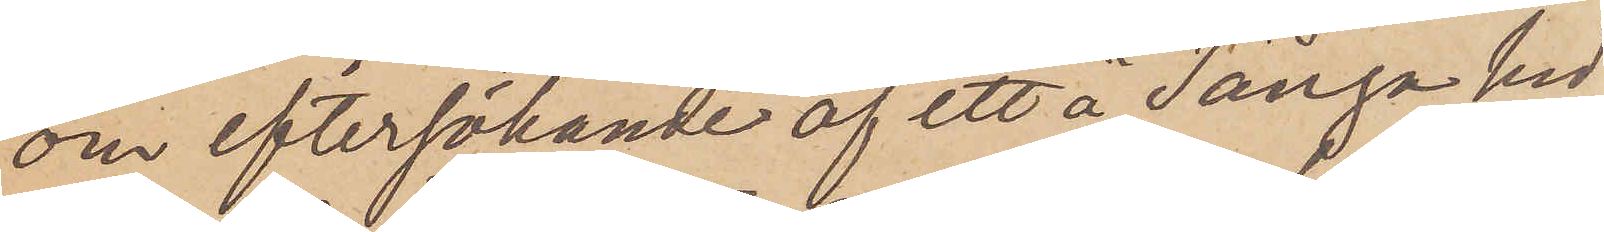om eftersökande af ett å Tånga hed
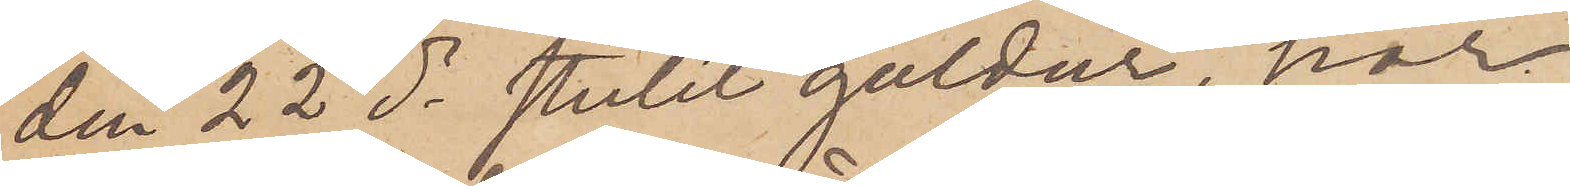den 22 ds stulet guldur, har
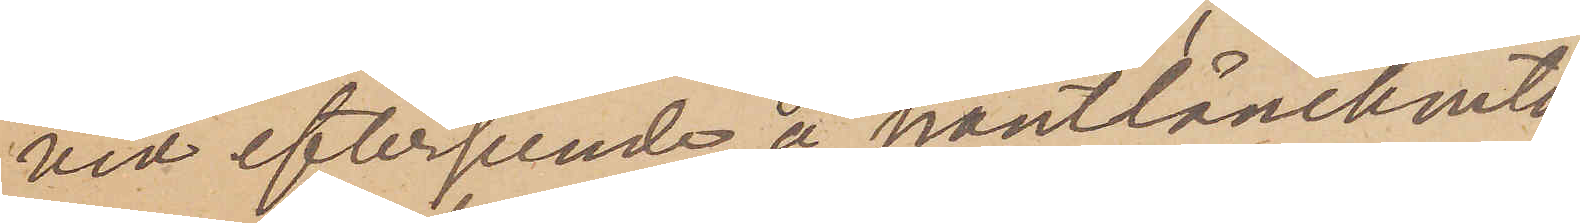vid efterseende å pantlånekonto¬
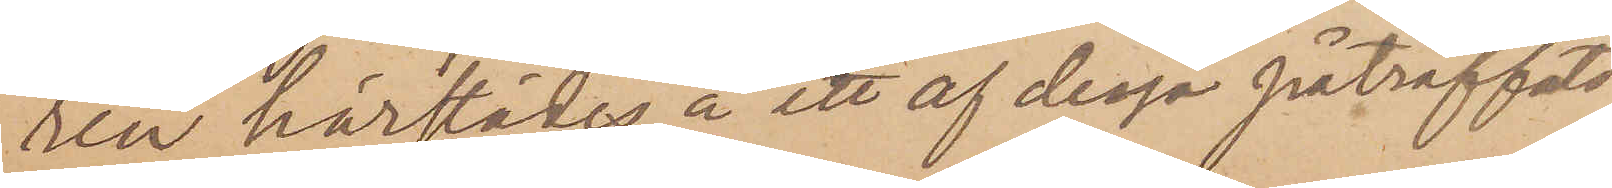ren härstädes å ett af dessa påträffats
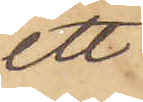ett
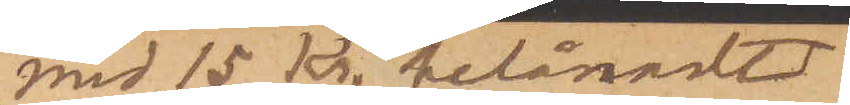med 15 kr. belånadt
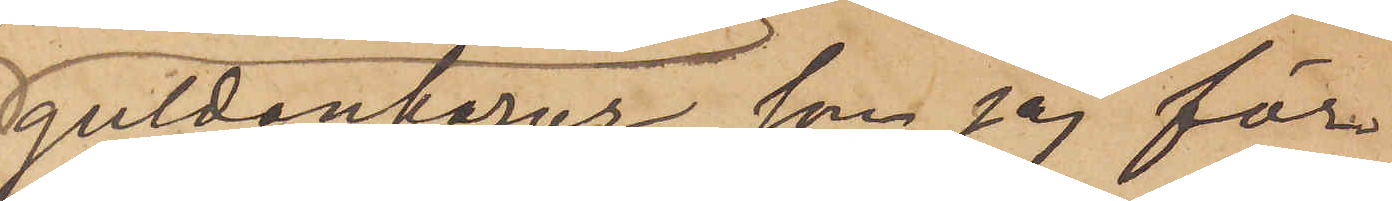guldankarur, som jag för¬
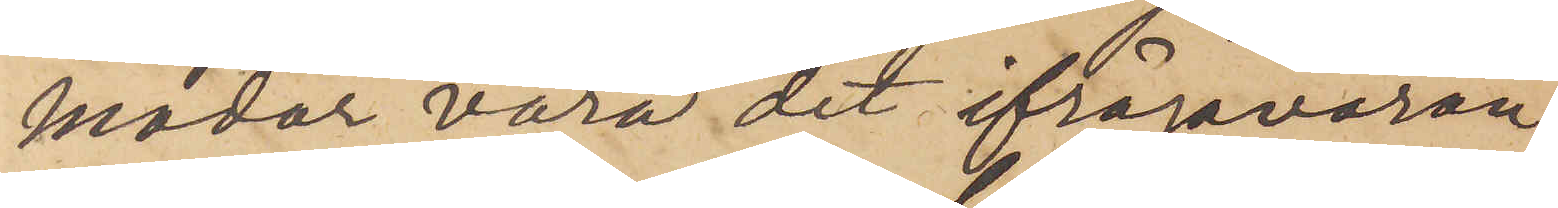modar vara det ifrågavaran¬
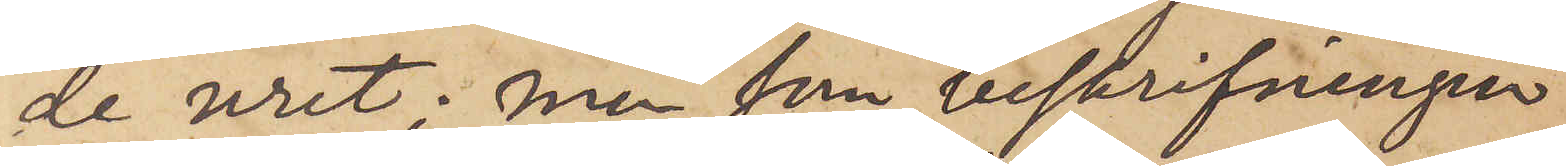de uret.  Men som beskrifningen
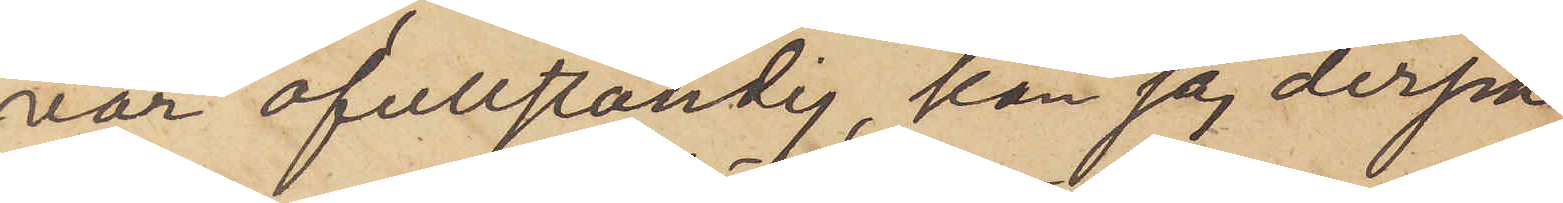var ofullständig, kan jag derpå
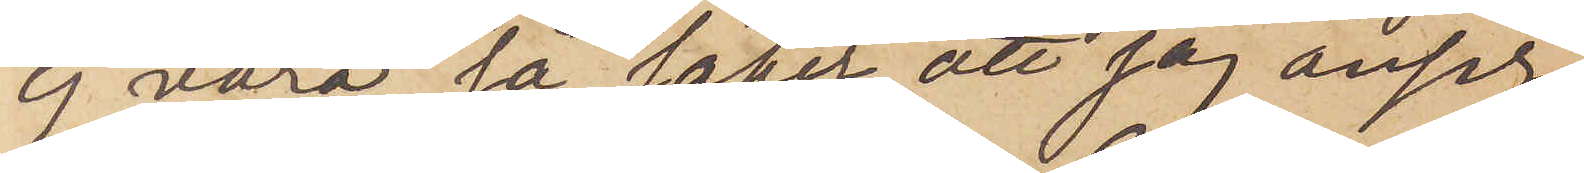ej vara så säker att jag anser
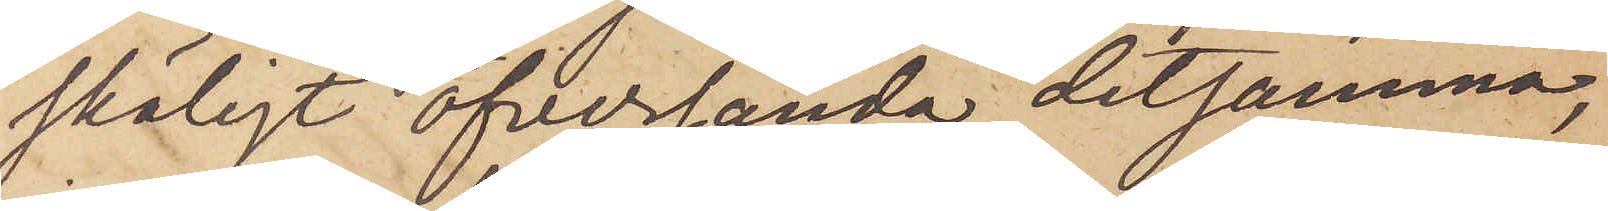skäligt öfversända detsamma,
